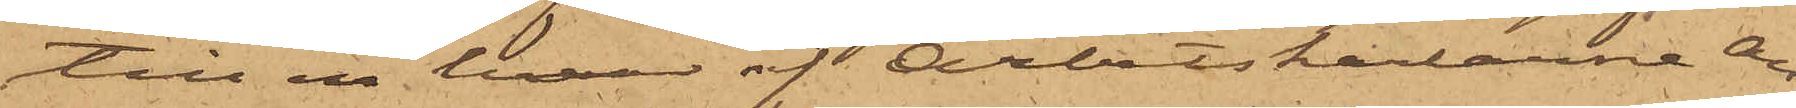till en hvar af Arbetskarlarne Au¬
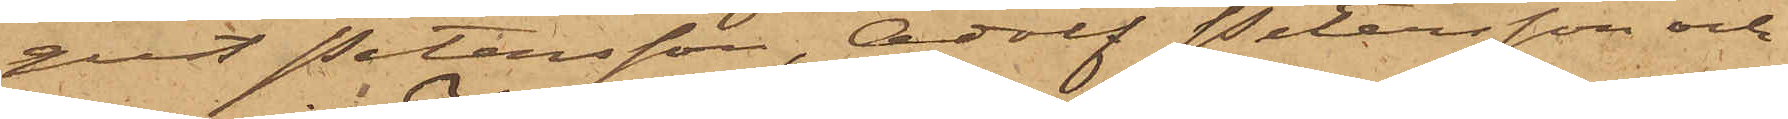gust Petersson, Adolf Petersson och
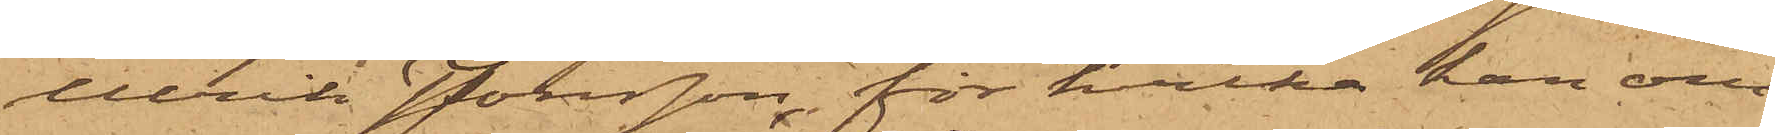Ulrik Jonsson, för hvilka han om¬
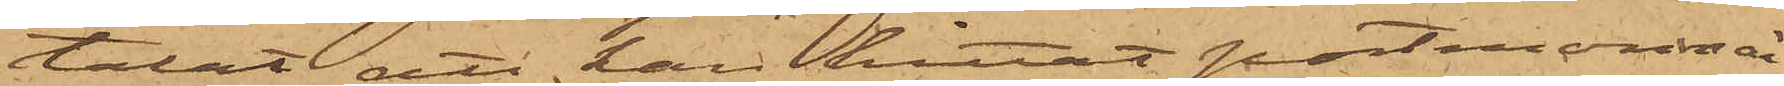talat att han hittat portmonnai¬
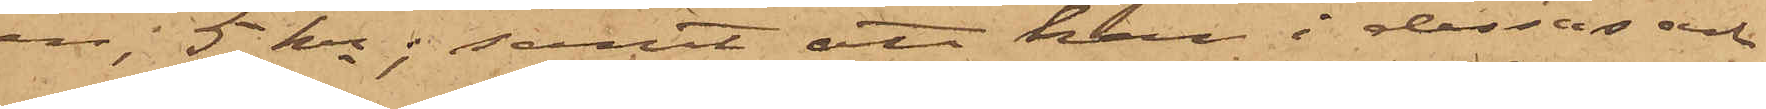en 5 kr; samt att han i dessas och
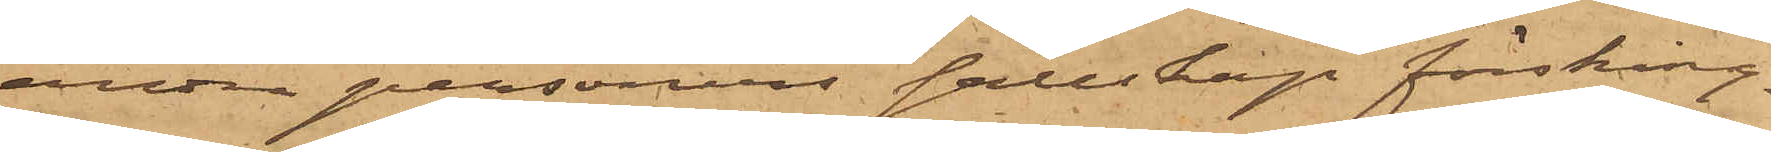andra personers sällskap försking¬
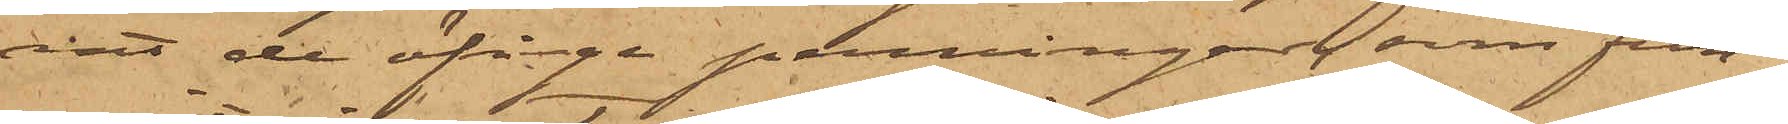rat de öfriga penningar, som fun¬
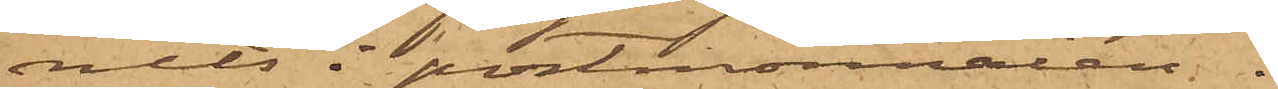nits i portmonnaien.
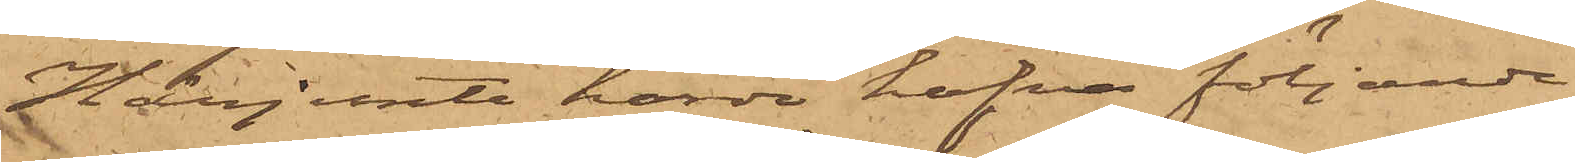Härjemte hörde hafva följande
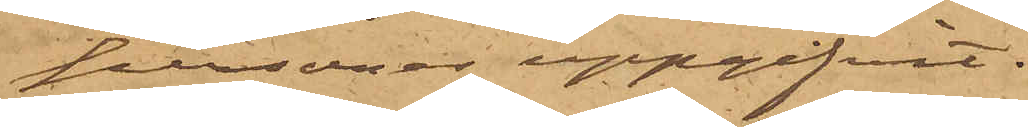personer uppgifvit:
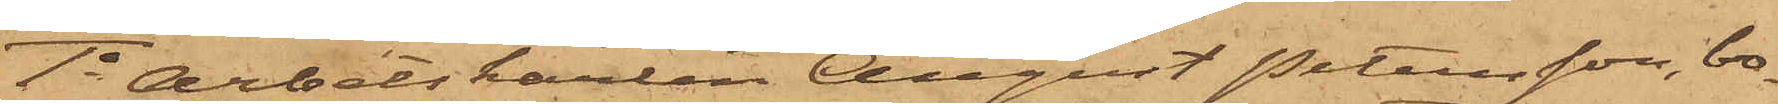1o Arbetskarlen August Petersson, bo¬
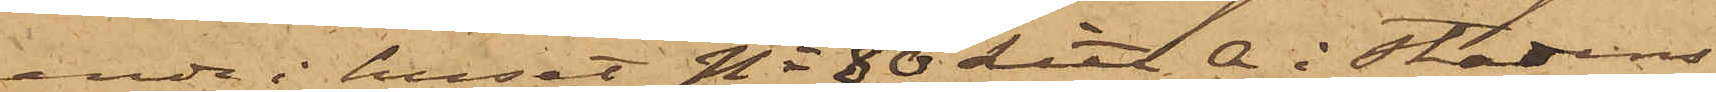ende i huset No 80 Litt. A i Stadens
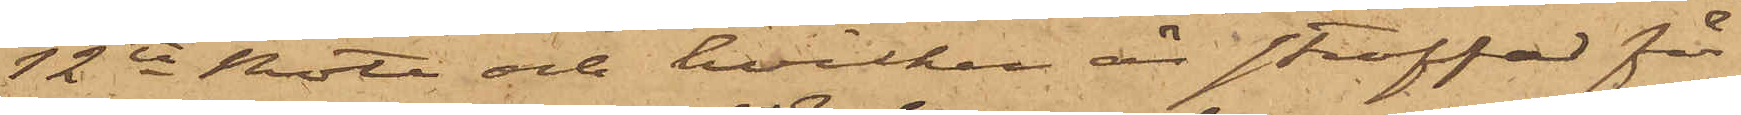12te Rote och hvilken är straffad för
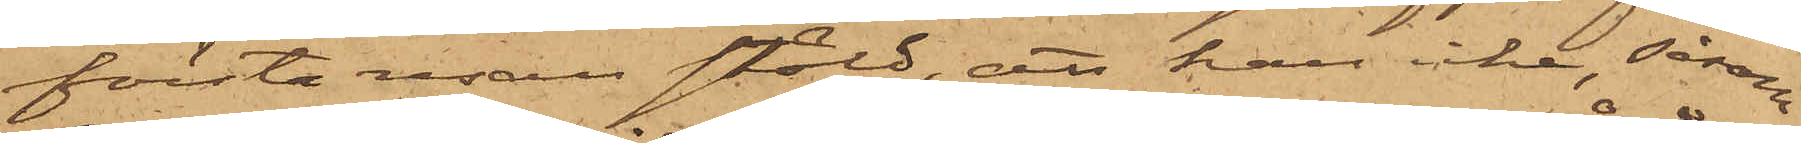första resan stöld, att han icke, såsom
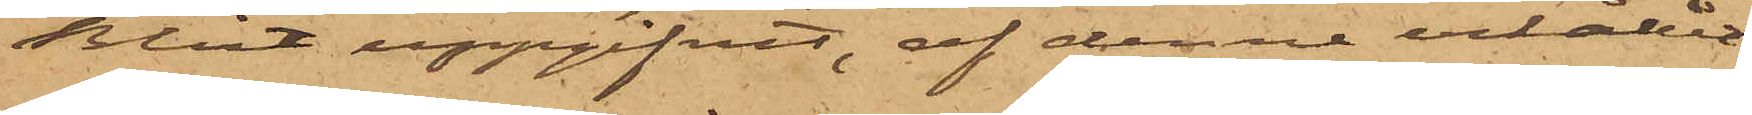Blixt uppgifvit, af denne erhållit
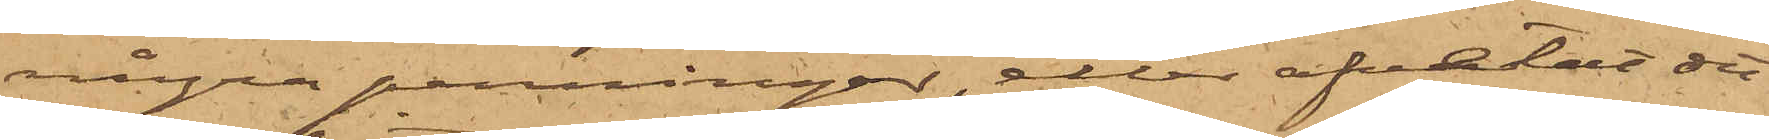några penningar, eller afvetat det
